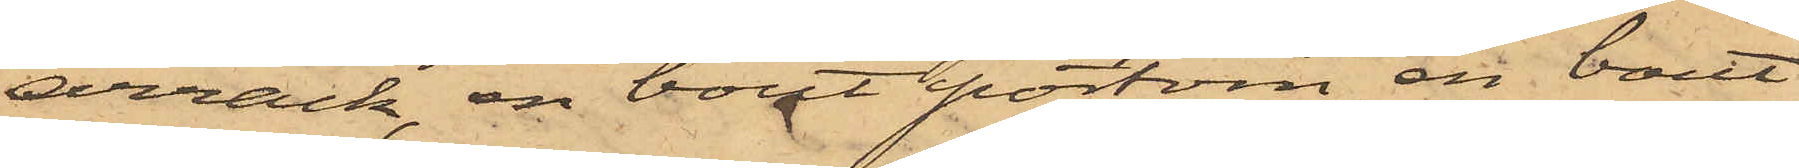arrack, en bout portvin, en bout
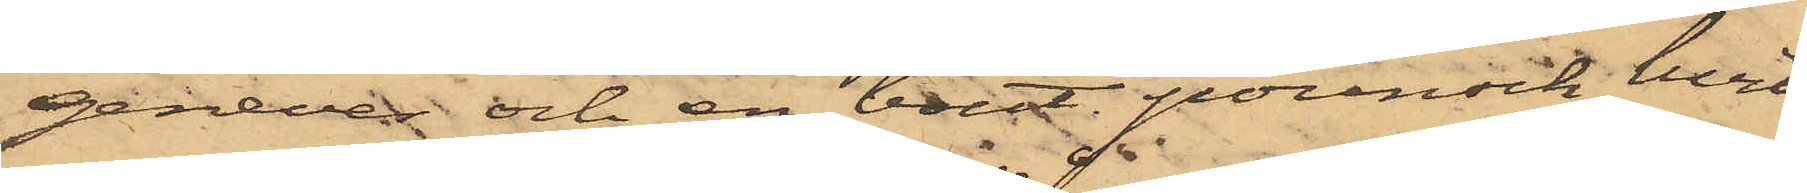genever och en bout pounsch, hvil¬
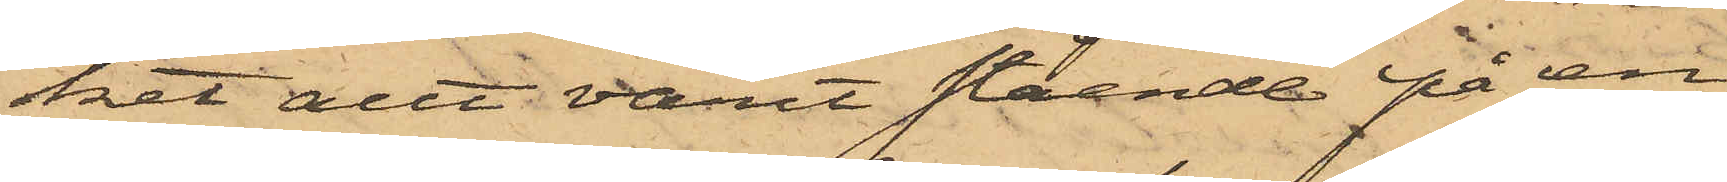ket allt varit stående på en
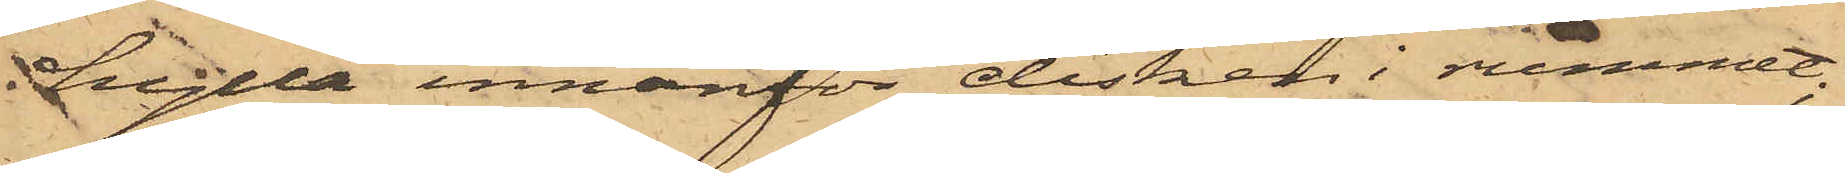hylla innanför disken i rummet;
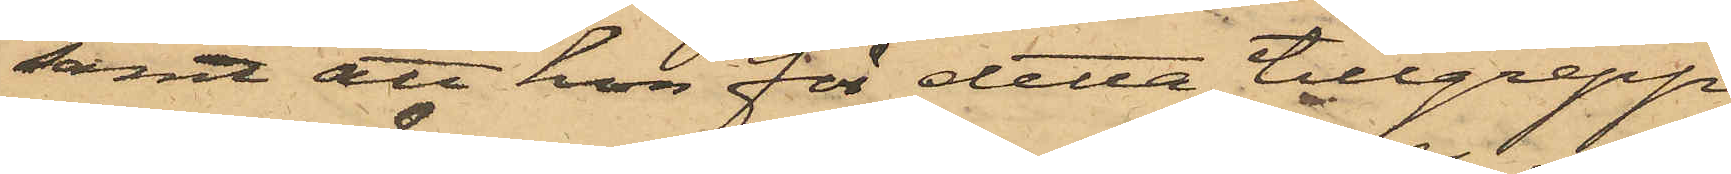samt att hon för detta tillgrepp
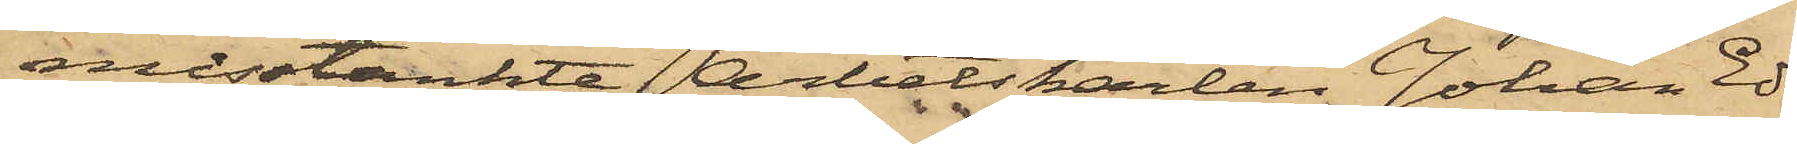misstänkte Arbetskarlen Johan Ed¬
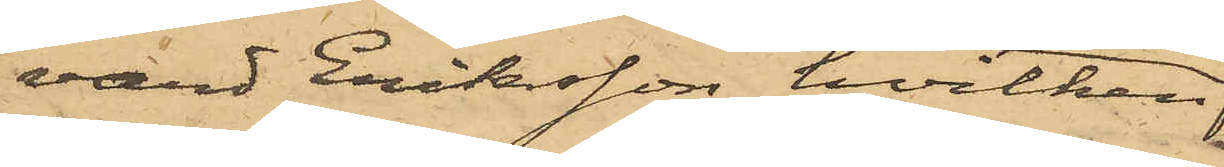vard Eriksson, hvilken
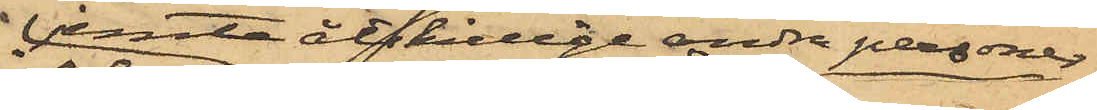jemte åtskillige andra personer
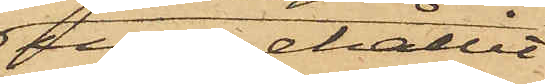uppehållit
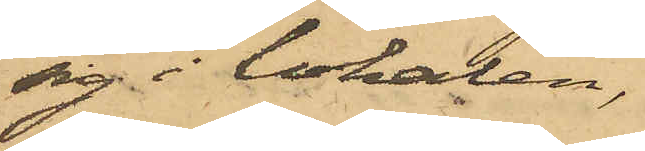sig i lokalen,
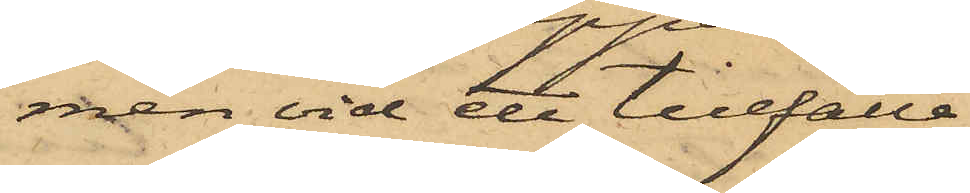men vid ett tillfälle,
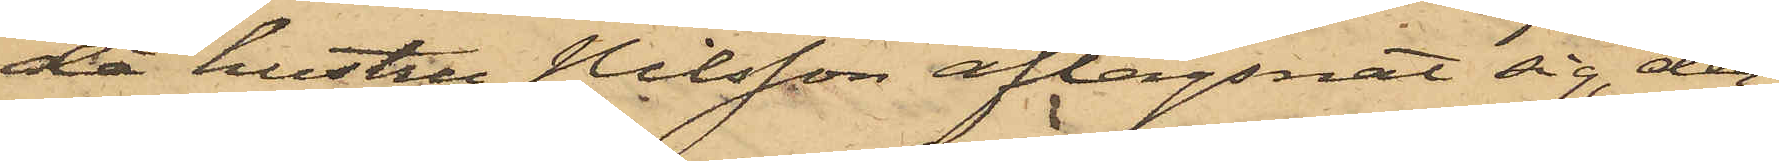då hustru Nilsson aflägsnat sig, der¬
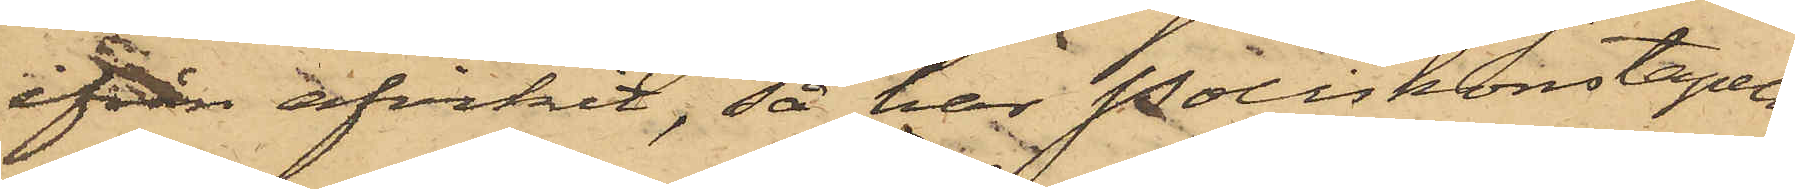ifrån afvikit, så har Poliskonstapeln
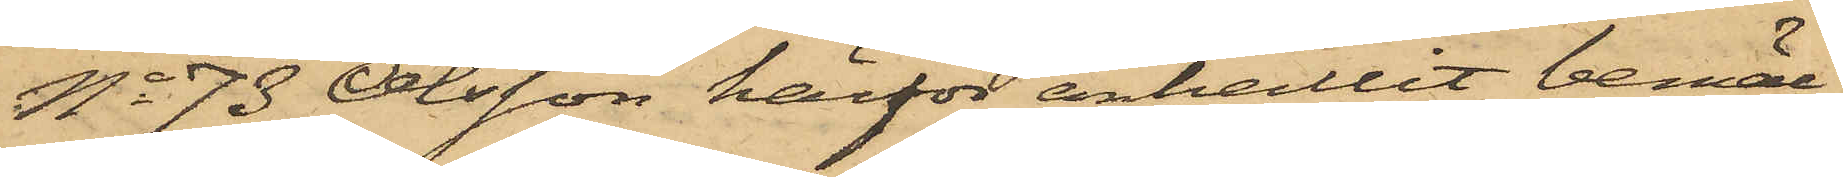No 73 Olsson härför anhållit bemäl¬
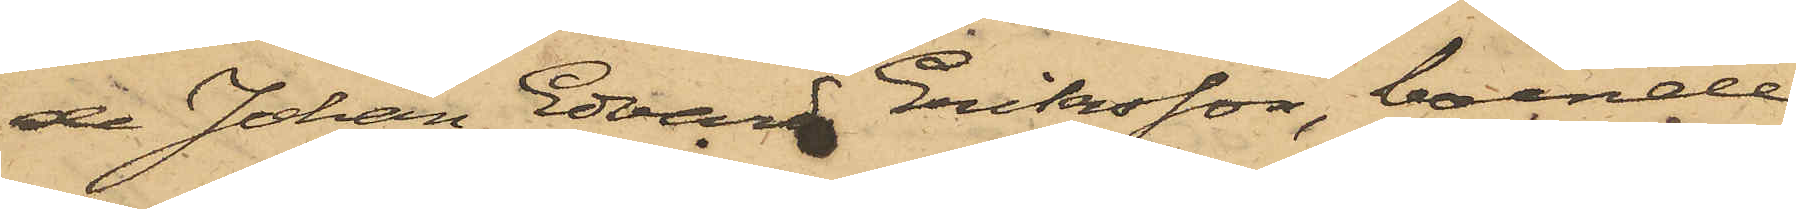de Johan Edvard Eriksson, boende
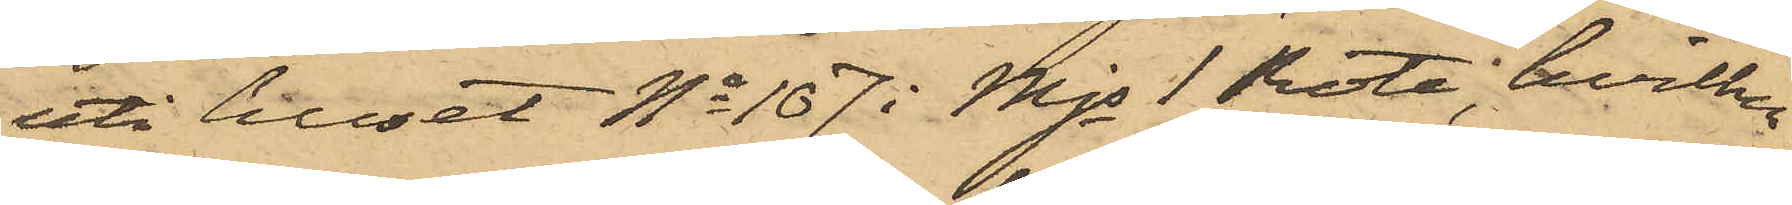uti huset No 107 i Mjs 1 Rote, hvilken
